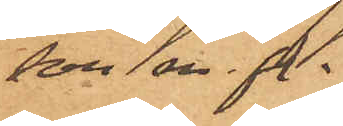son mfl.
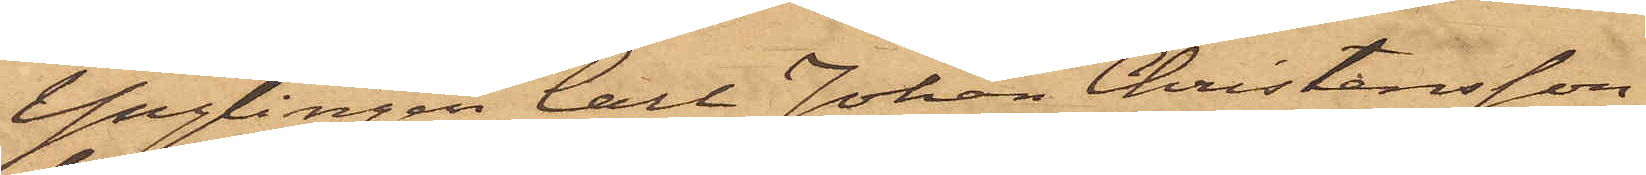Ynglingen Carl Johan Christensson,
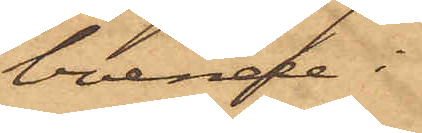boende i
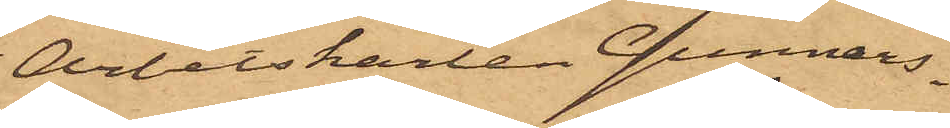Arbetskarlen Gunnars¬
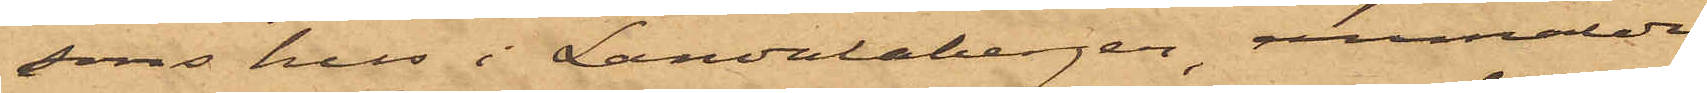sons hus i Landalabergen, annmälde
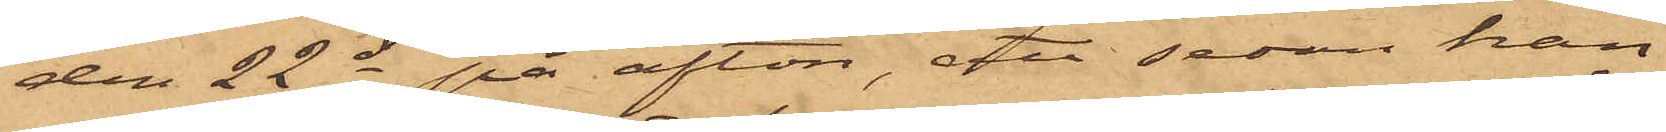den 22 ds på afton, att sedan han
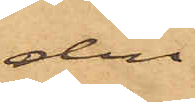den
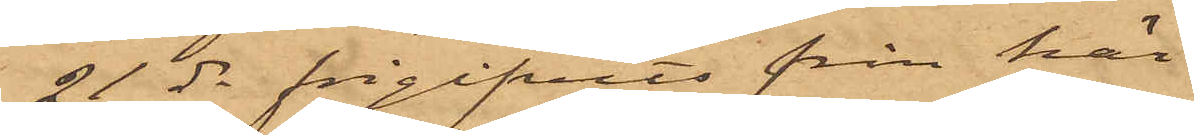21 ds frigifvits från här¬
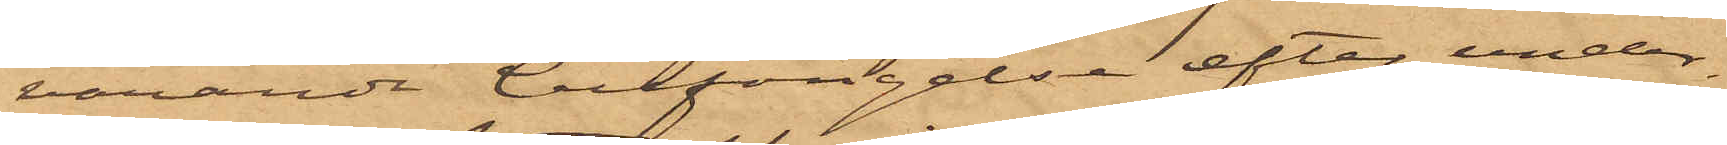varande Cellfängelse efter under¬
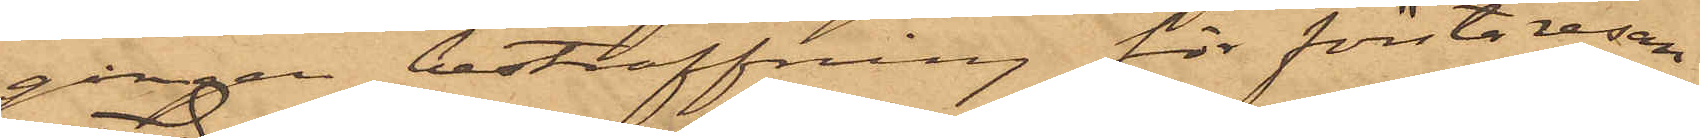gången bestraffning för första resan
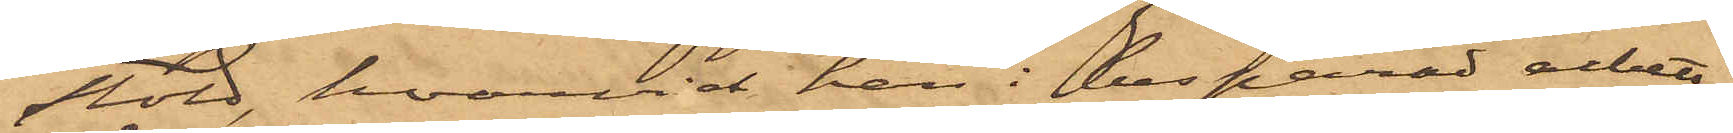stöld, hvarvid han i besparad arbets¬
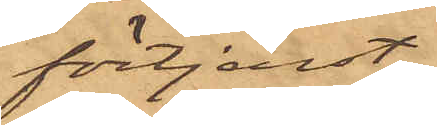förtjenst
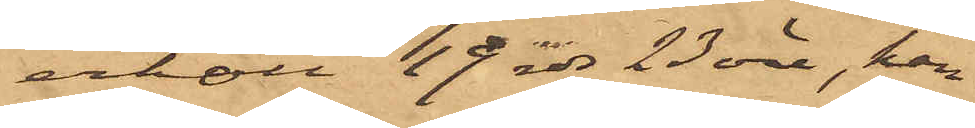erhöll 19 rdr 23 öre, han
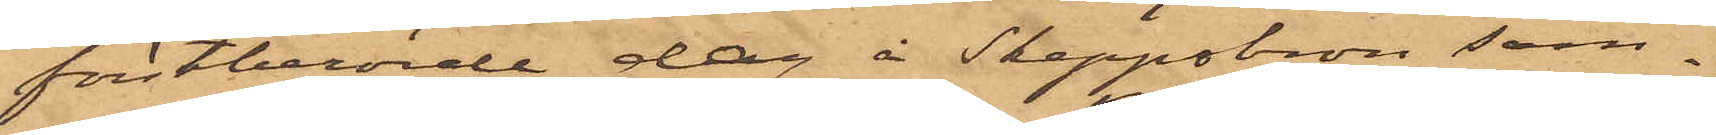förstberörde dag å Skeppsbron sam¬
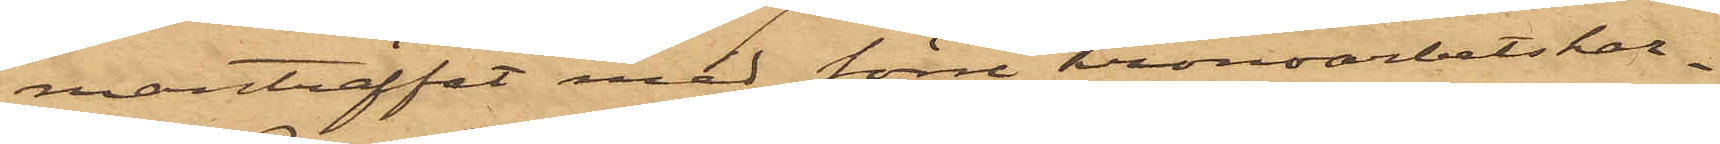manträffat med förre Kronoarbetskar¬
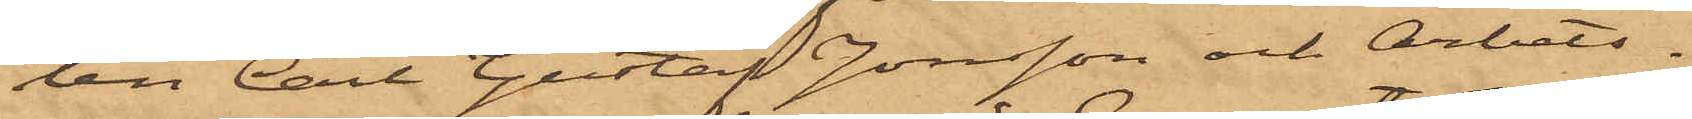len Carl Gustaf Jonsson och Arbets¬
